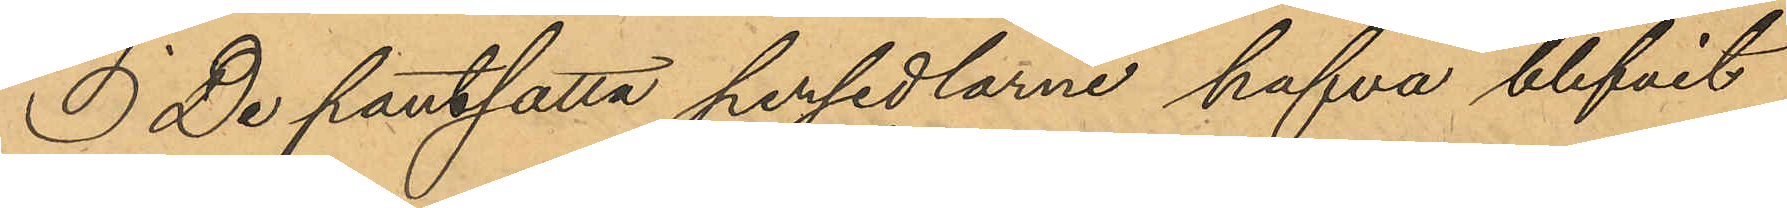 De pantsatta persedlarne hafva blifvit
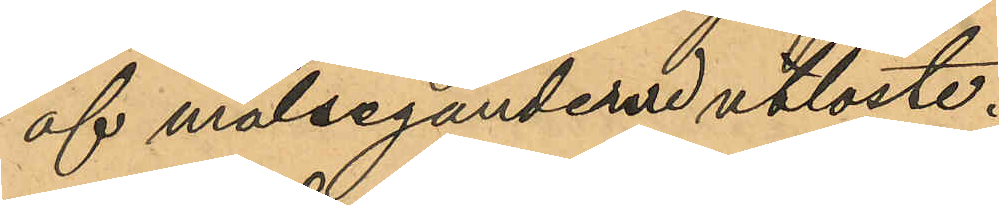af målseganderne utlöste.
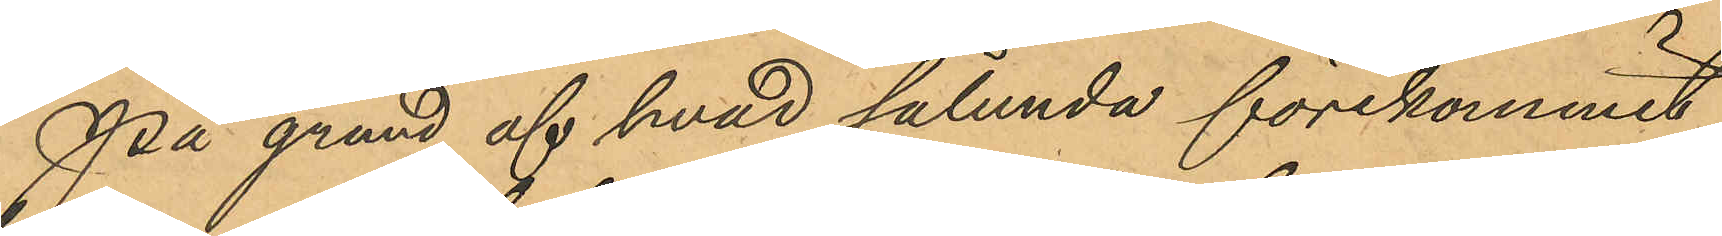På grund af hvad sålunda förekommit
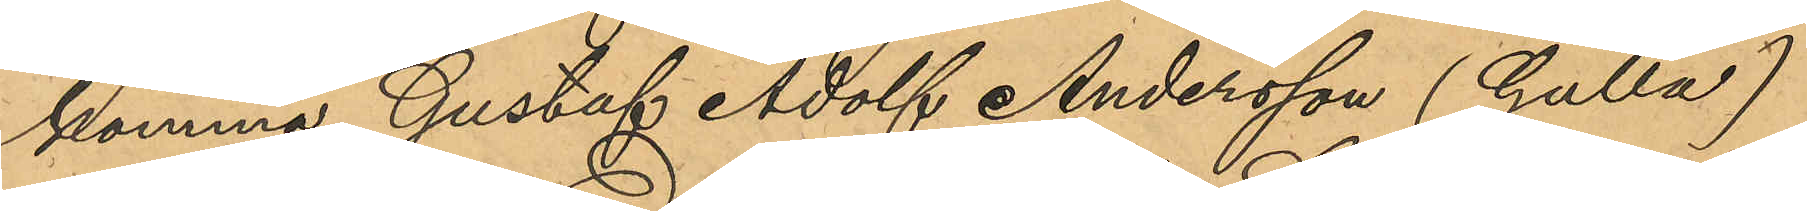komma Gustaf Adolf Andersson (Gulla)
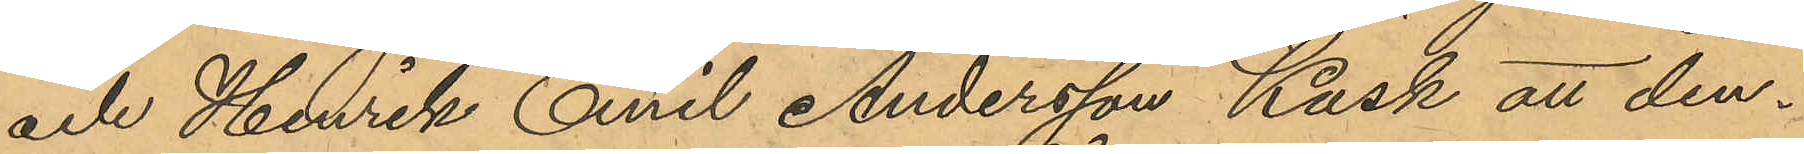och Henrik Emil Andersson Kask att den¬
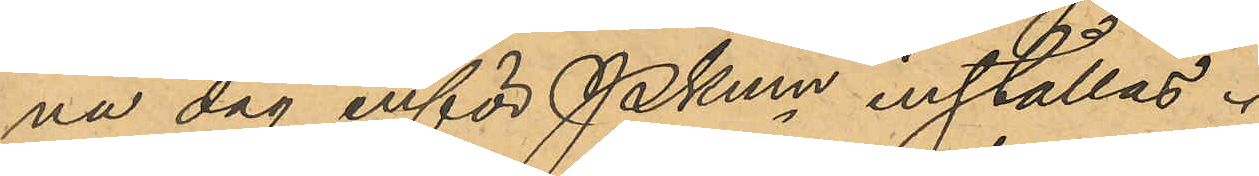na dag inför Pkmn inställas.
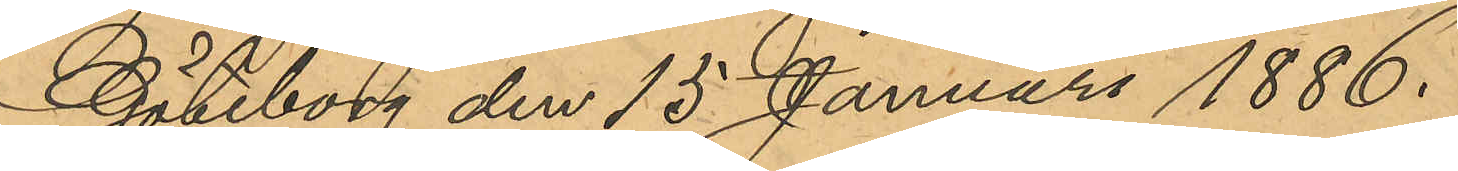Göteborg den 15 Januari 1886.
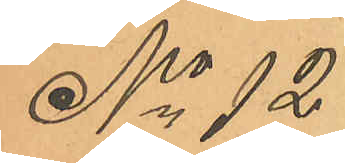No 12
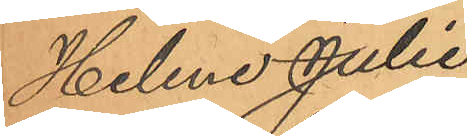Helene Julia
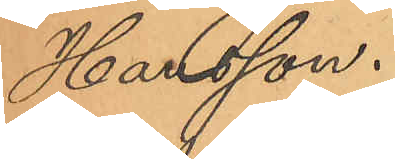Hansson.
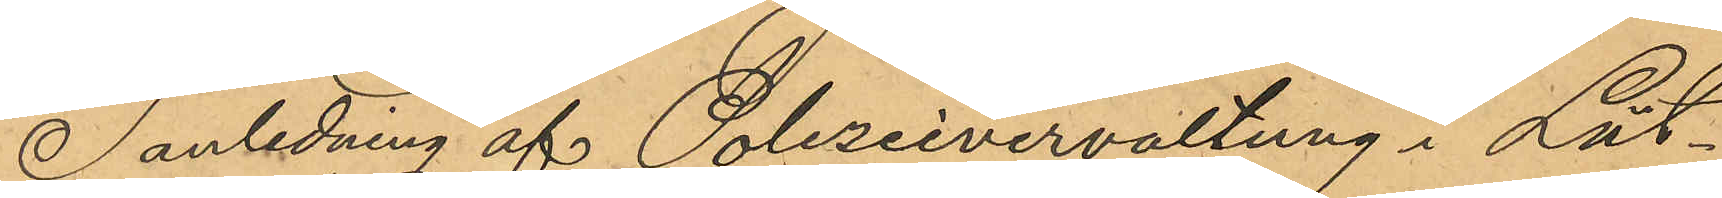I anledning af Polizeivervaltung i Lüt¬
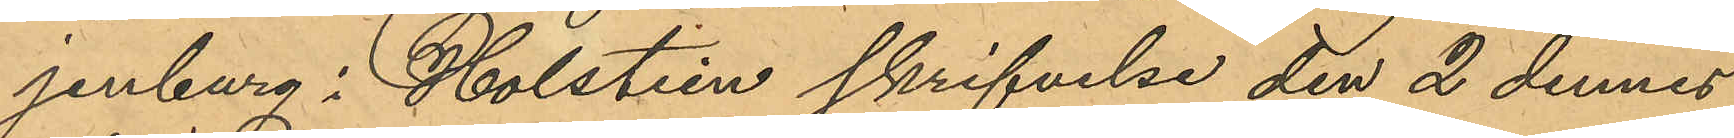jenburg i Holstein skrifvelse den 2 dennes
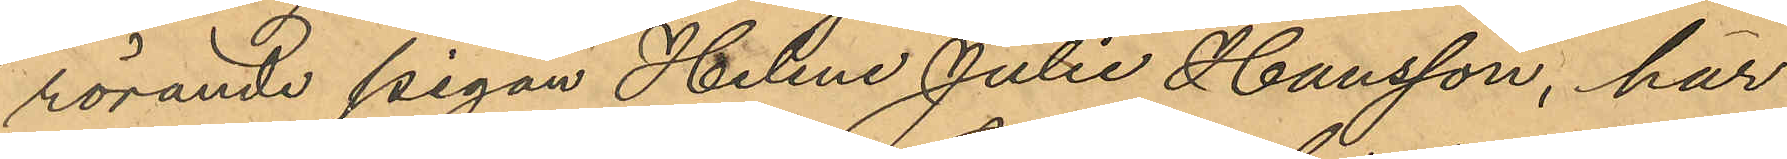rörande pigan Helene Julia Hansson, har
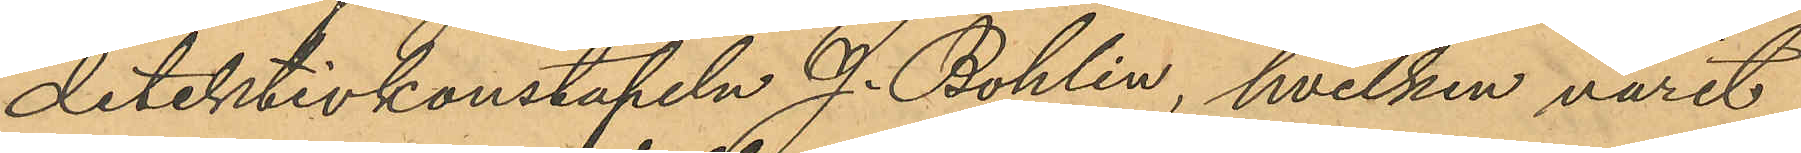detektivkonstapeln J. Bohlin, hvilken varit
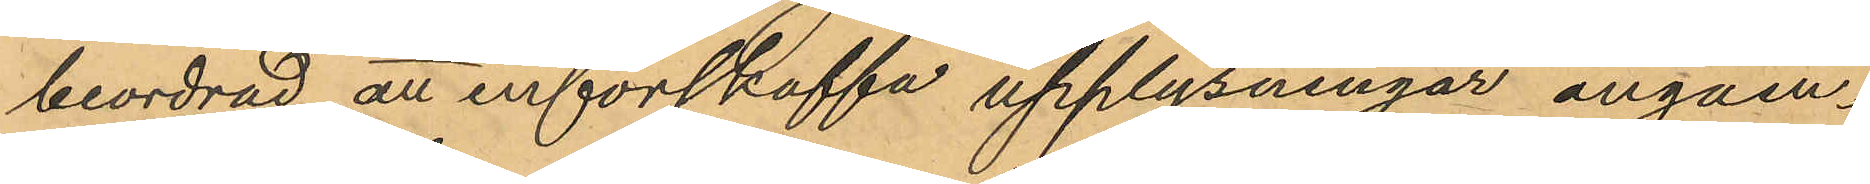beordrad att införskaffa upplysningar angåen¬
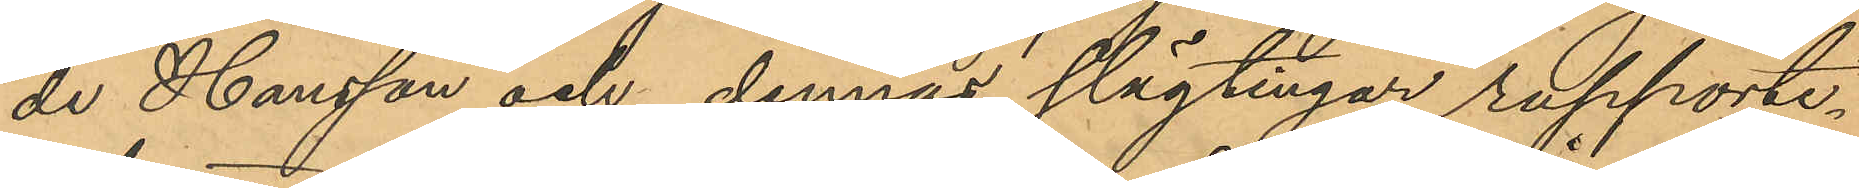de Hansson och dennas slägtingar, rapporte¬
